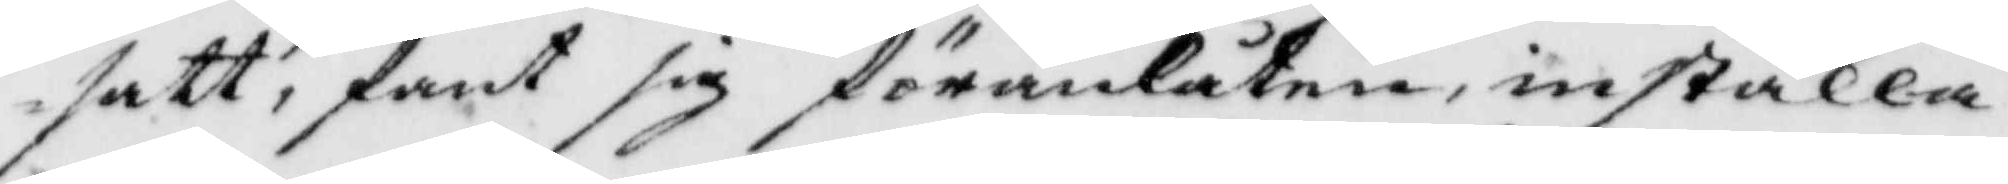satt, samt sig föranlåten, inställa
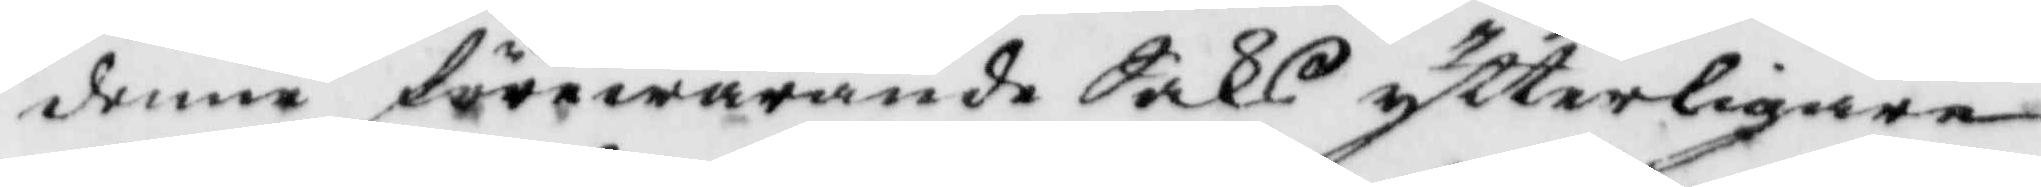denne förewarande Saks ytterligare
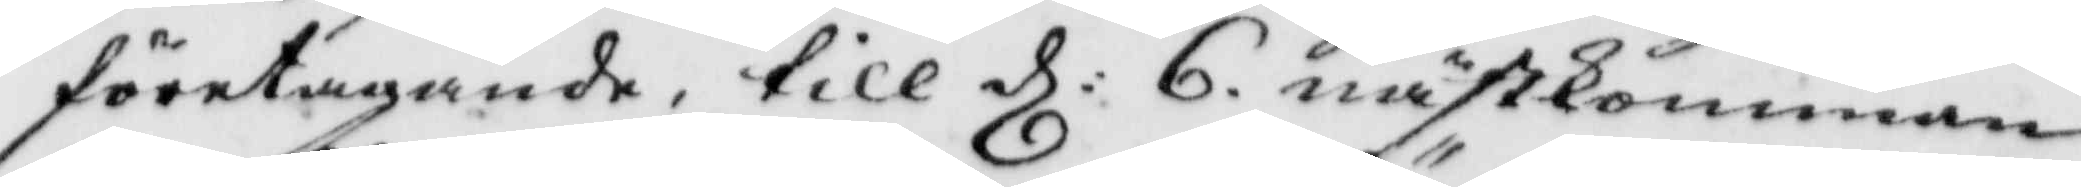företagande, till d: 6. nästkomman¬
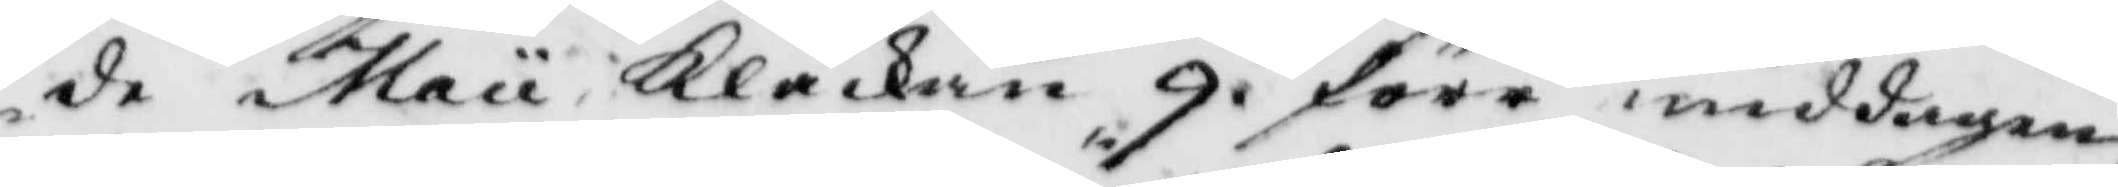de maii Klåckan 9. före middagen,
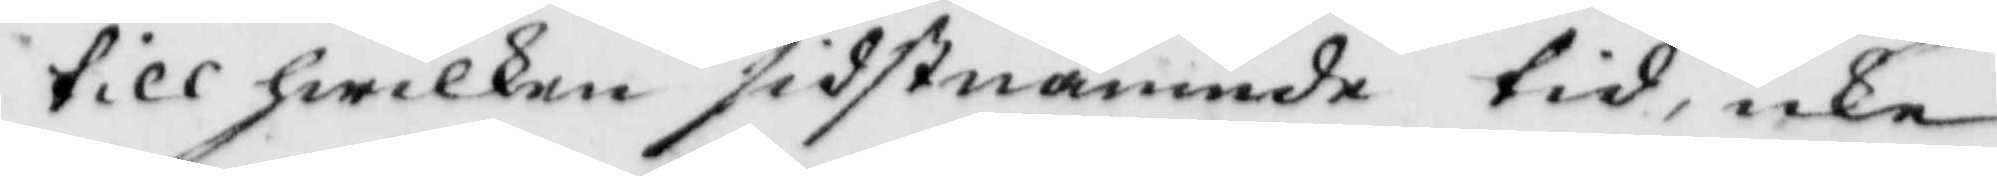till hwilken sidstnämnde tid, icke
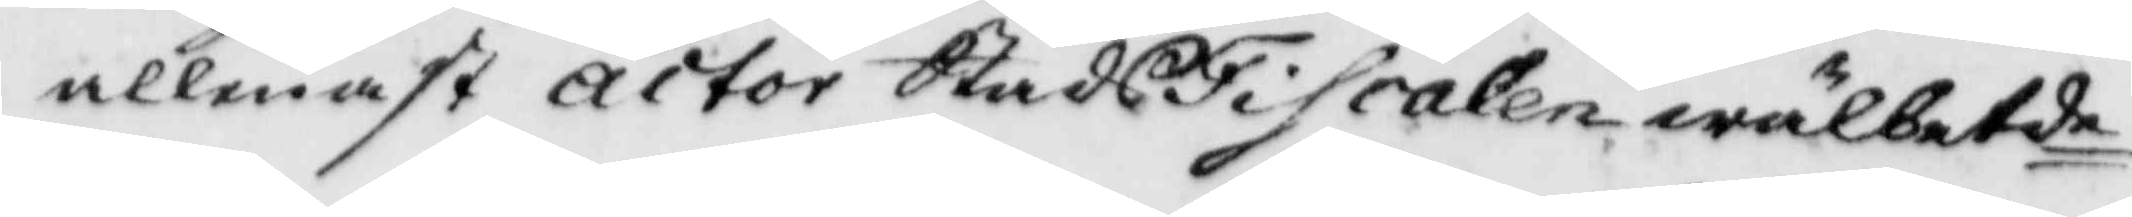allenast actor SatdsFiscalen wälbetde
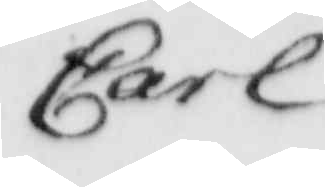Carl
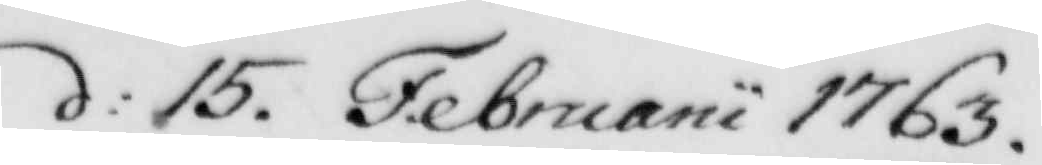d: 15 Februarii 1763
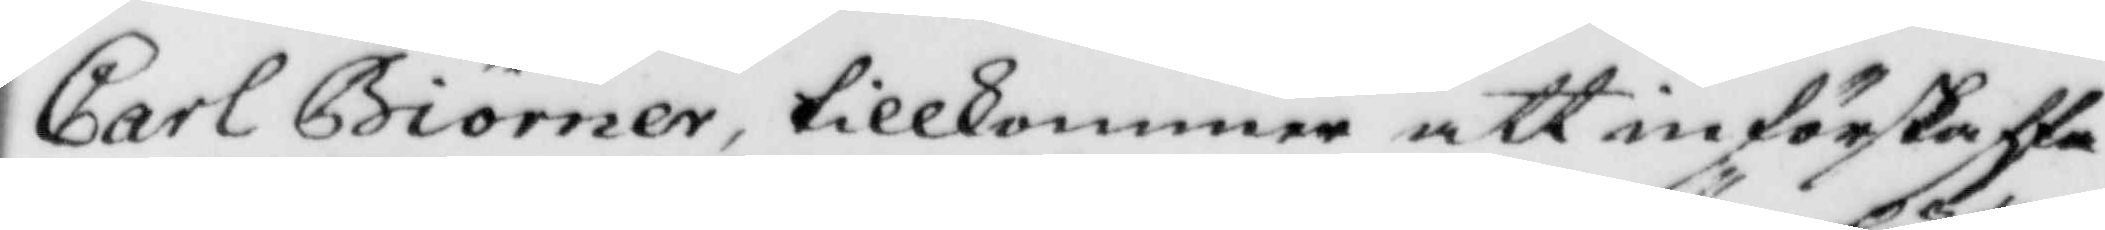Carl Biörner, tillkommer att införskaffa
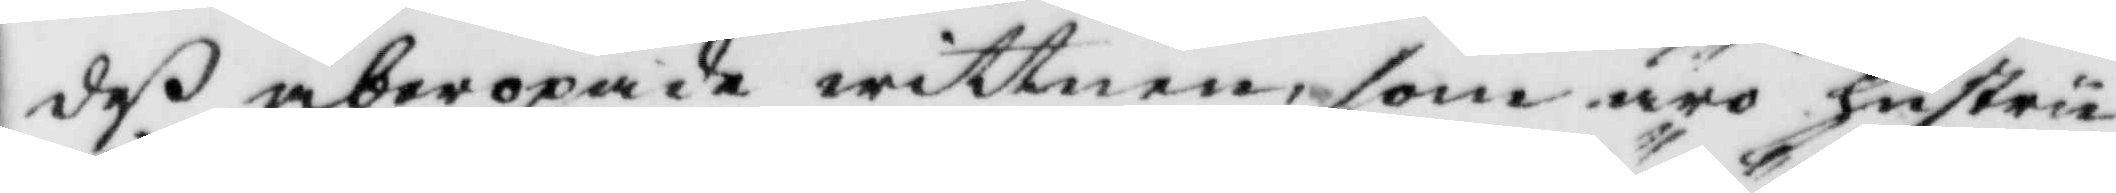deß åberopade wittnen som äro hustru
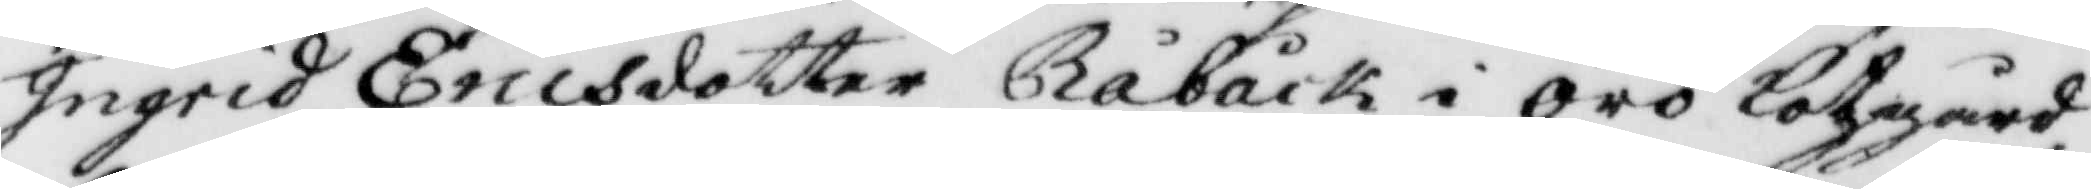Ingrid Ericsdotter Råbäck i örör lotzgård,
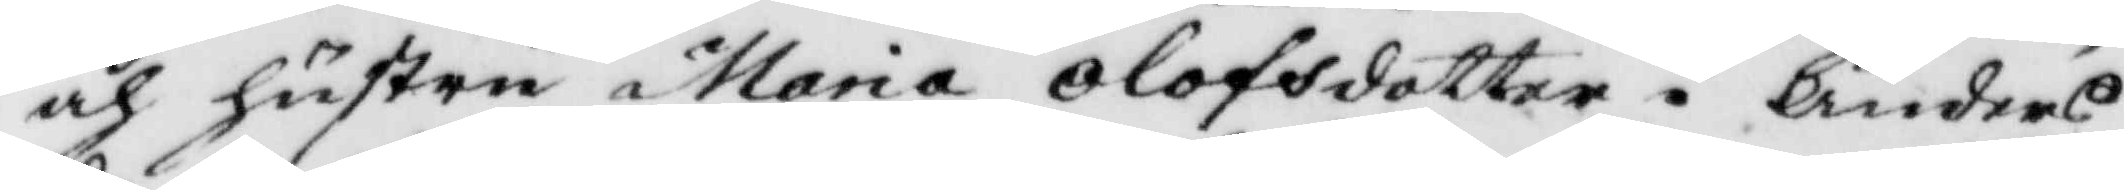och hustru Maria Olofsdotter i Anders¬
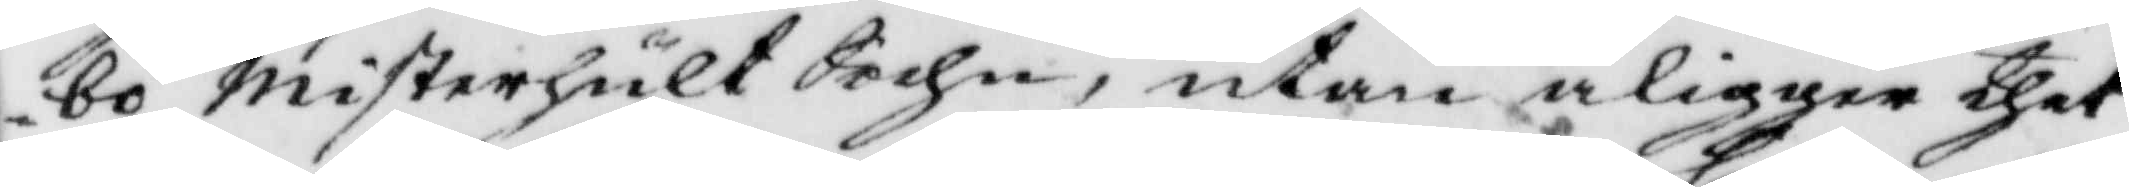bo misterhult Sochn, utan åligger thet
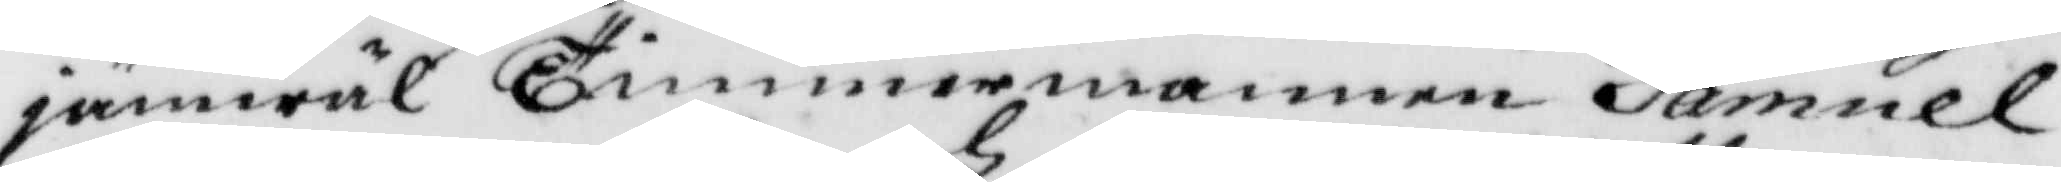jämwäl Timmermannen Samuel
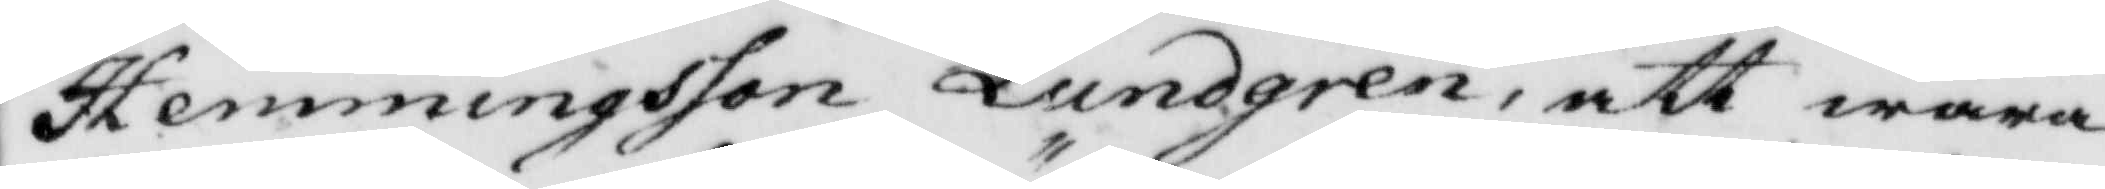Hemmingsson Lundgren, att wara
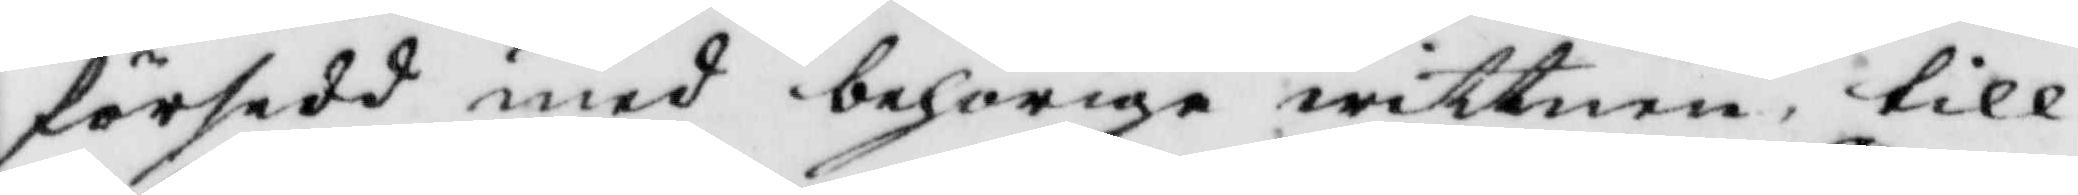försedd med behörige wittnen, till
